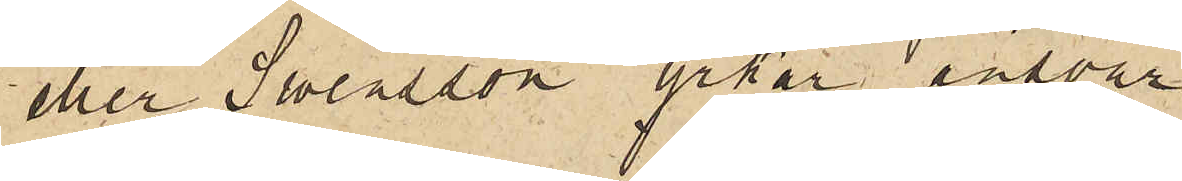eller Swensson yrkar ansvar.
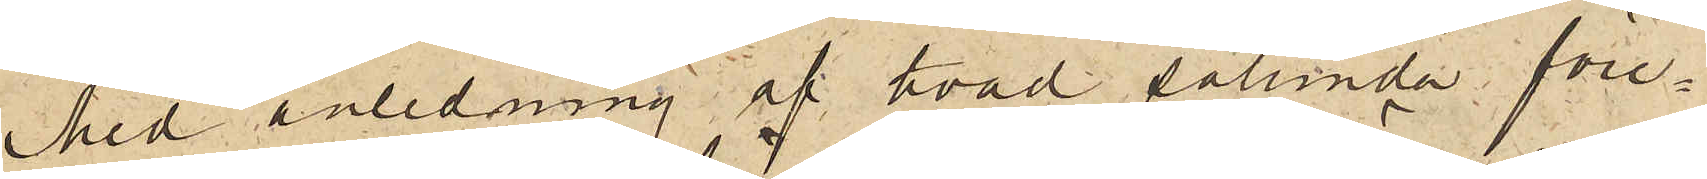Med anledning af hvad sålunda före¬
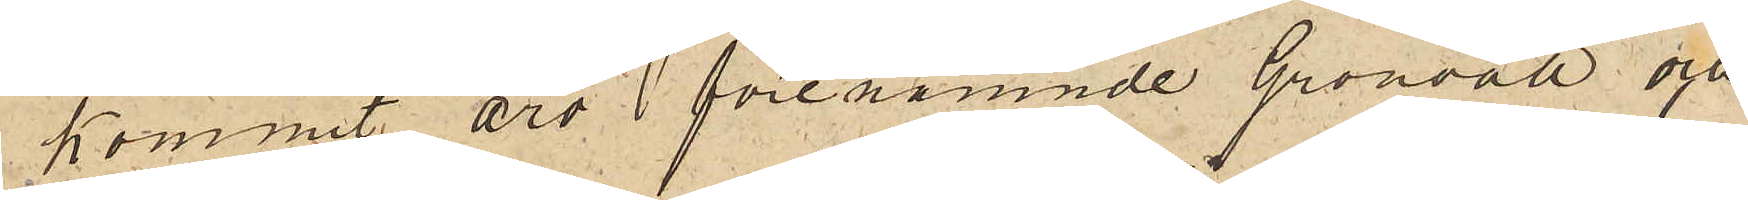kommit äro  förenämnde Grönvall och
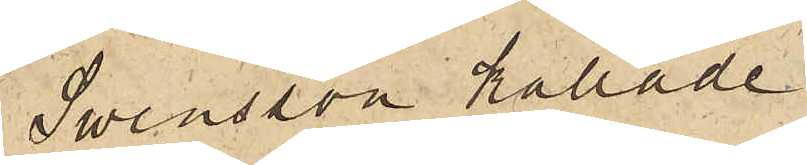Swensson kallade
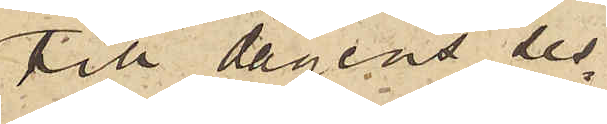till dagens ses¬
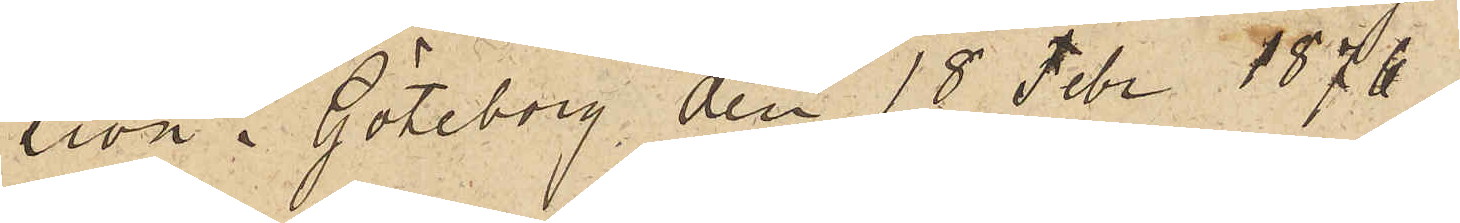sion. Göteborg den 18 Febr 1876.
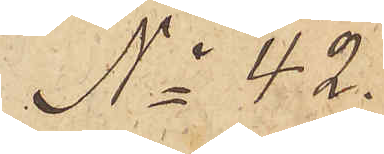No 42.
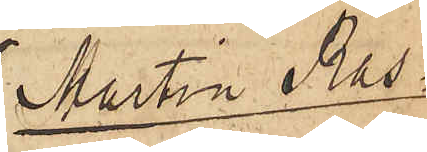Martin Ras¬
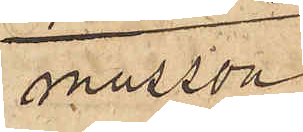musson
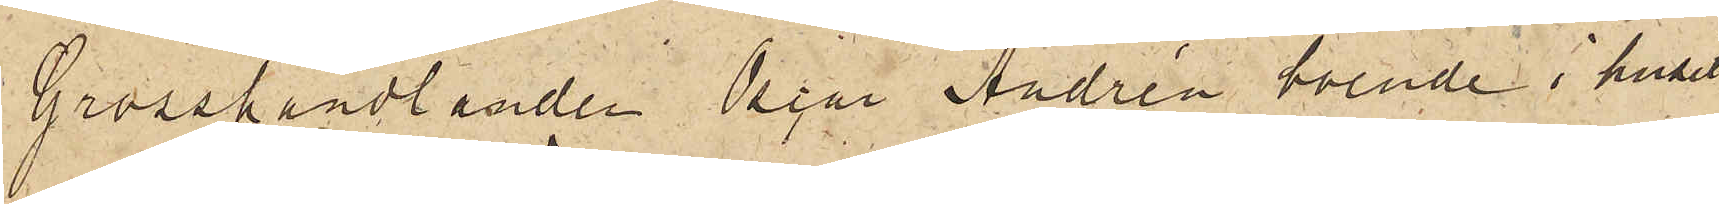Grosshandlanden Oscar Andrén boende i huset
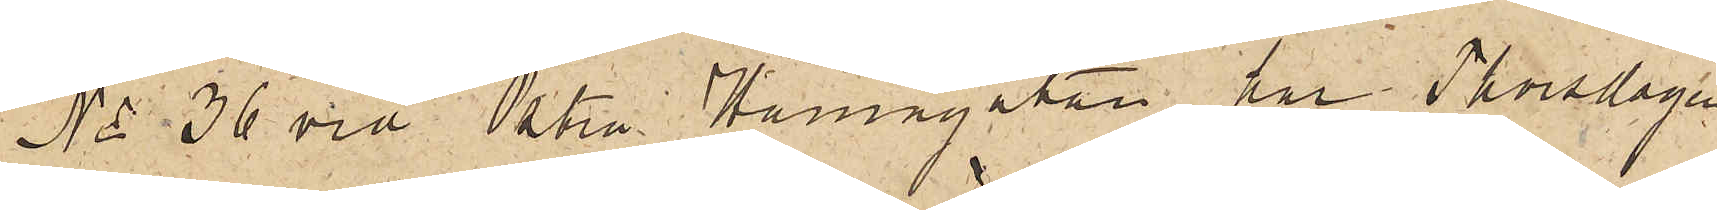No 36 vid Östra Hamngatan har Thorsdagen
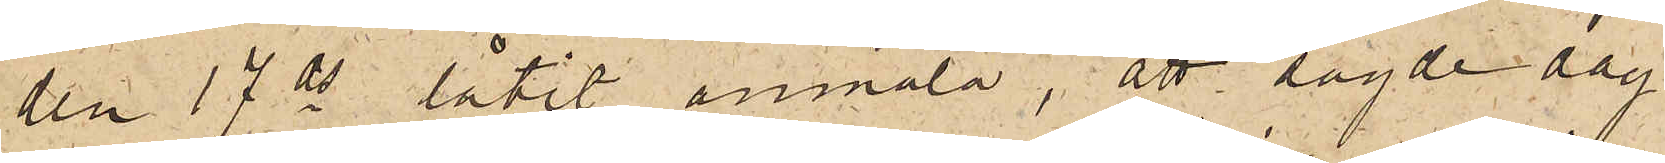den17 ds låtit anmäla, att sagde dag
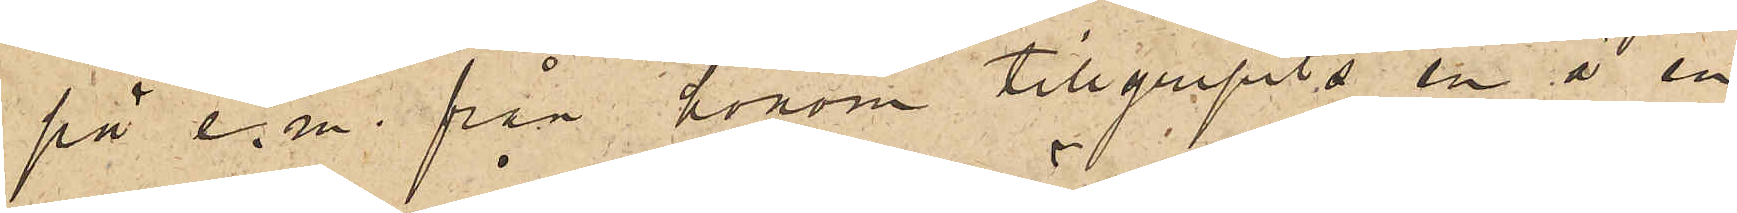på e. m. från honom tillgripits en å en
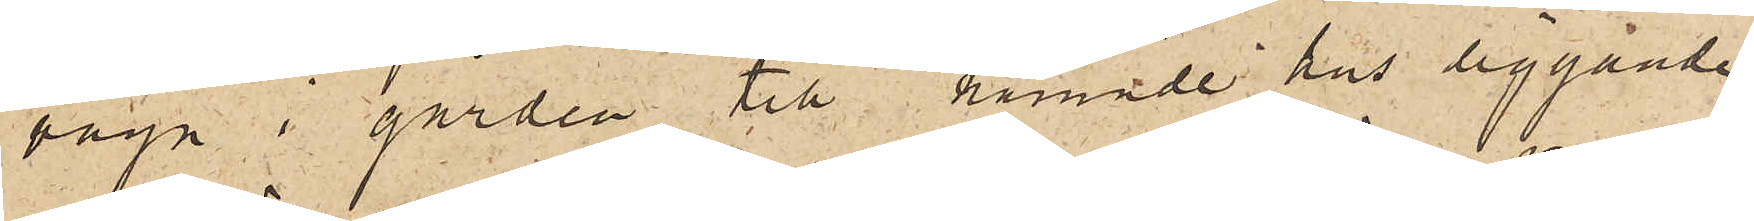vagn i gården till nämnde hus liggande
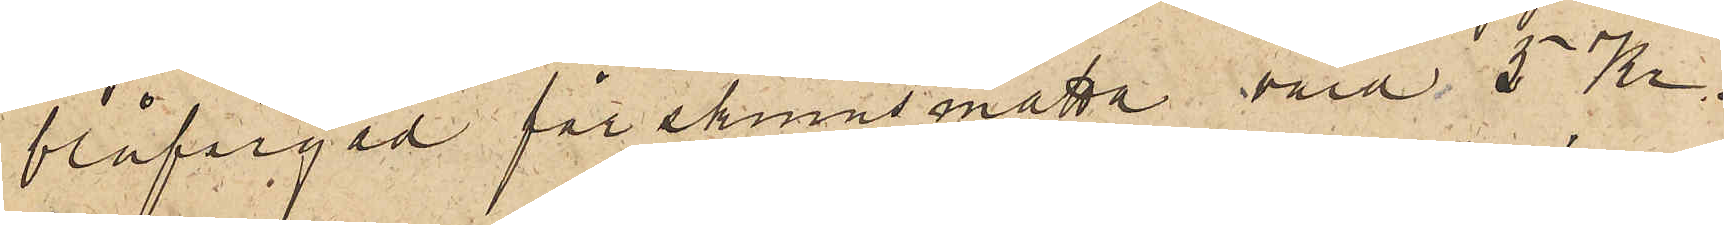blåfärgad fårskinnsmatta värd 5 Kr.
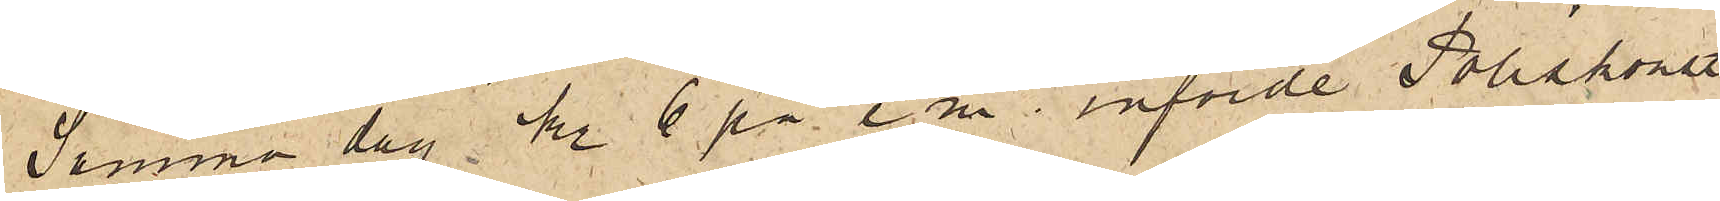Samma dag kl. 6 på e. m. införde Poliskonstl
